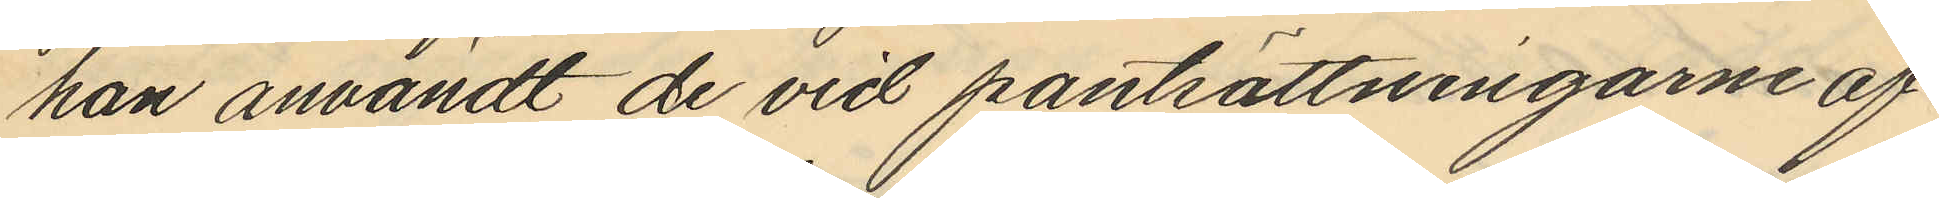han användt de vid pantsättningarne af
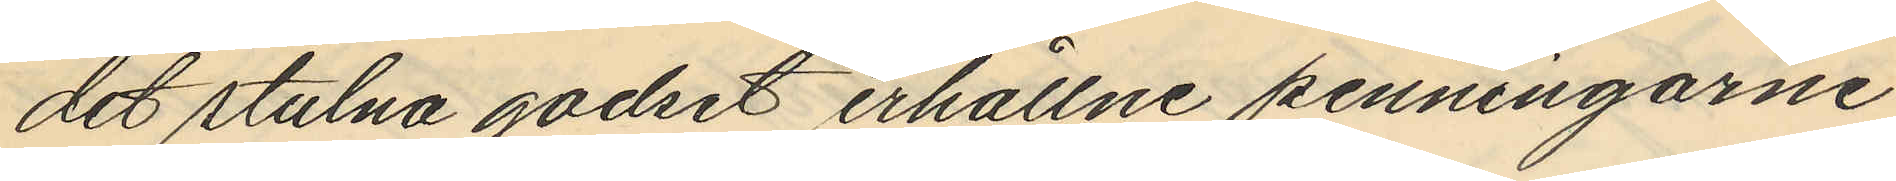det stulna godset erhållne penningarne
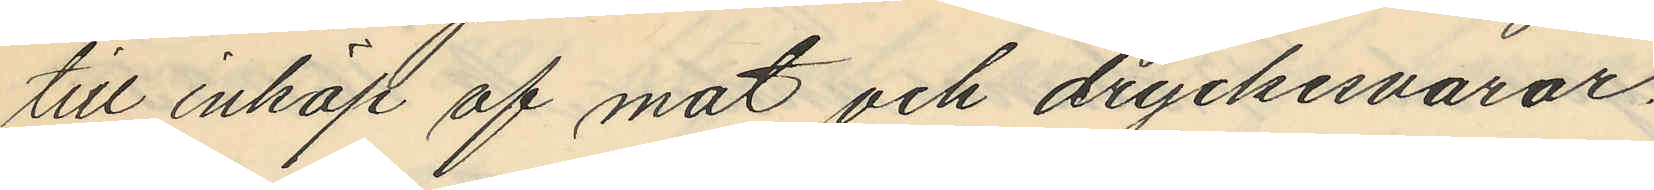till inköp af mat och dryckesvaror.
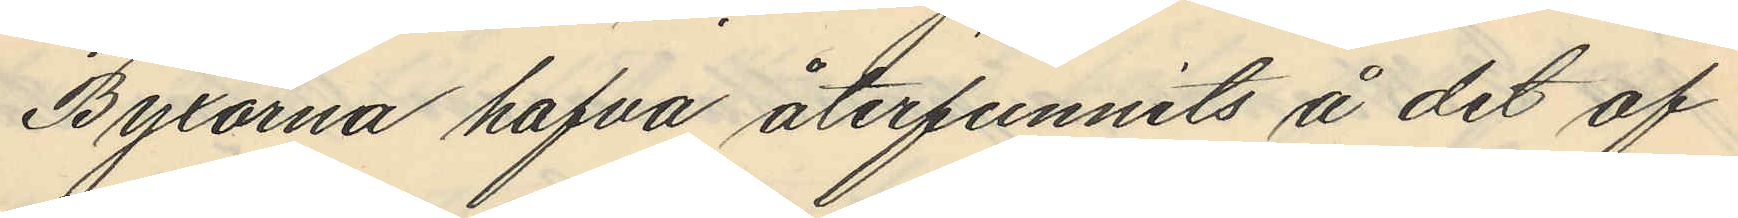Byxorna hafva återfunnits å det af
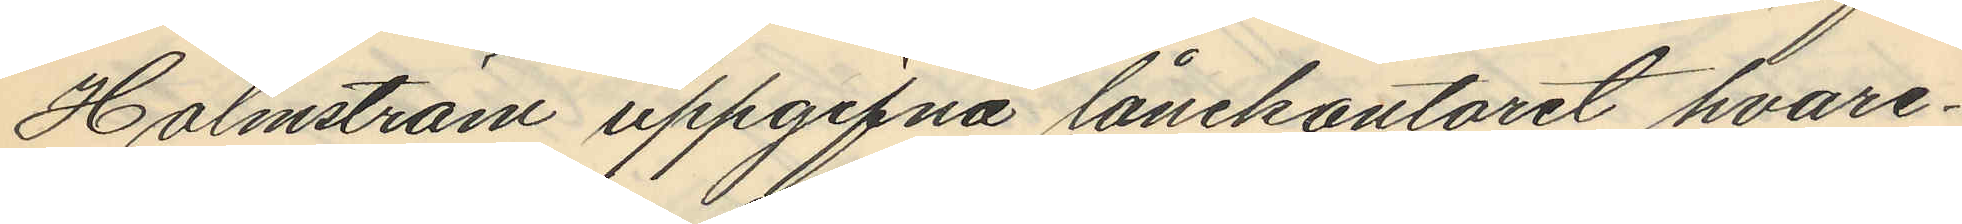Holmström uppgifna lånekontoret hvare¬
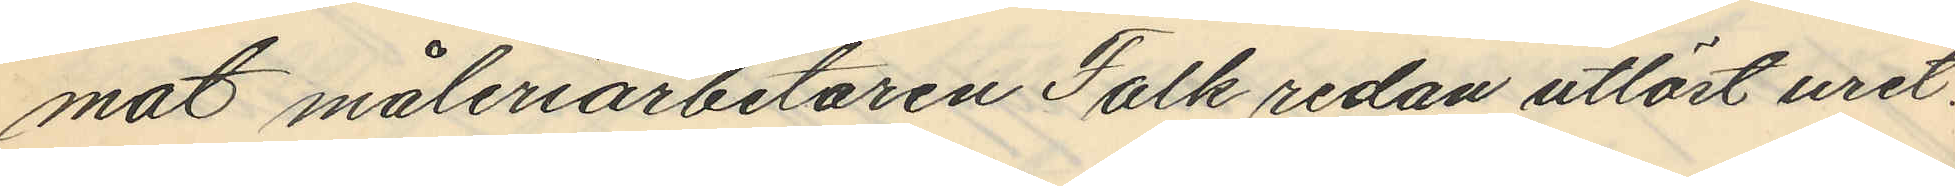mot måleriarbetaren Falk redan utlöst uret.
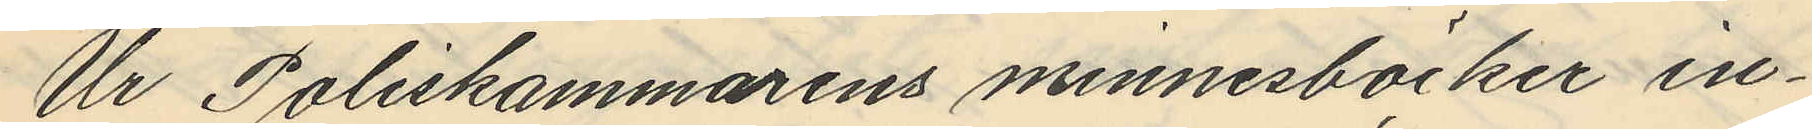Ur Poliskammarens minnesböcker in¬
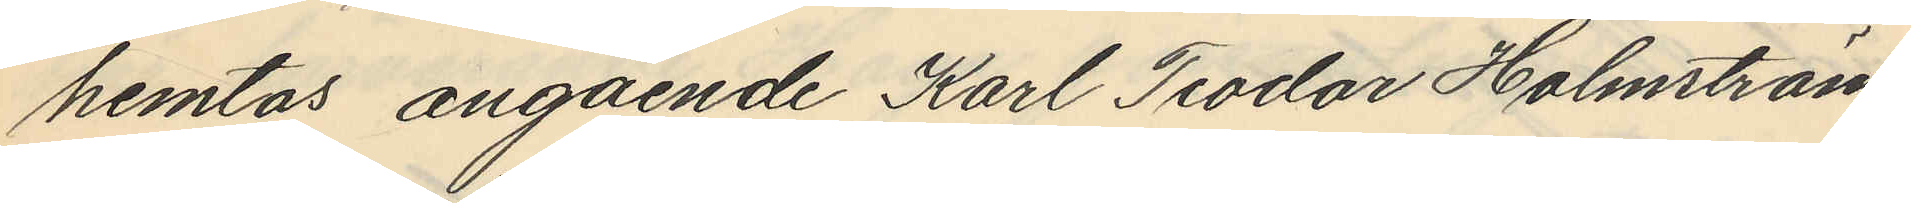hemtas angående Karl Teodor Holmström
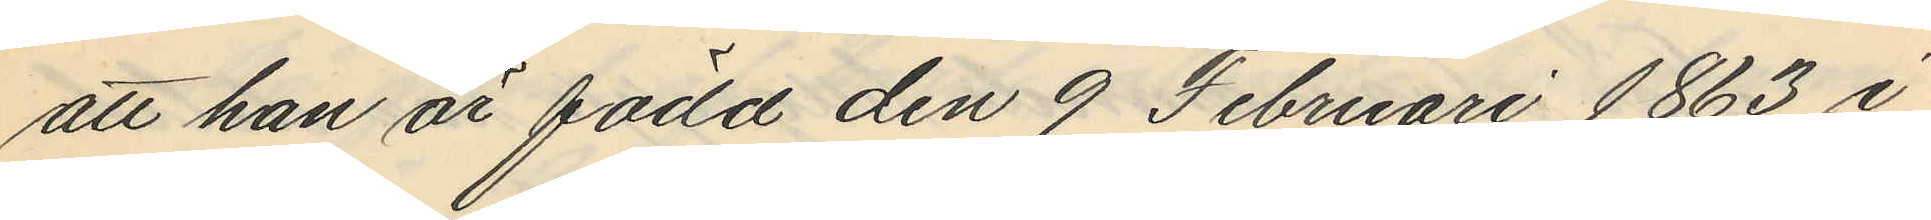att han är född den 9 Februari 1863 i
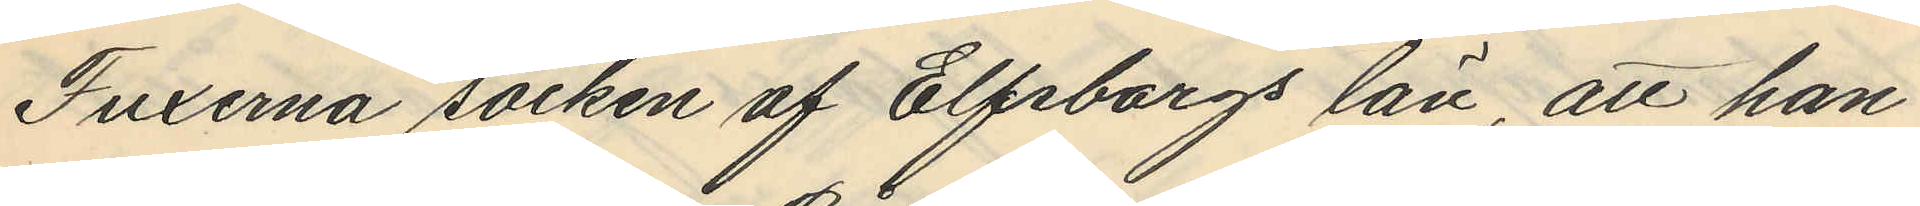Fuxerna socken af Elfsborgs län, att han
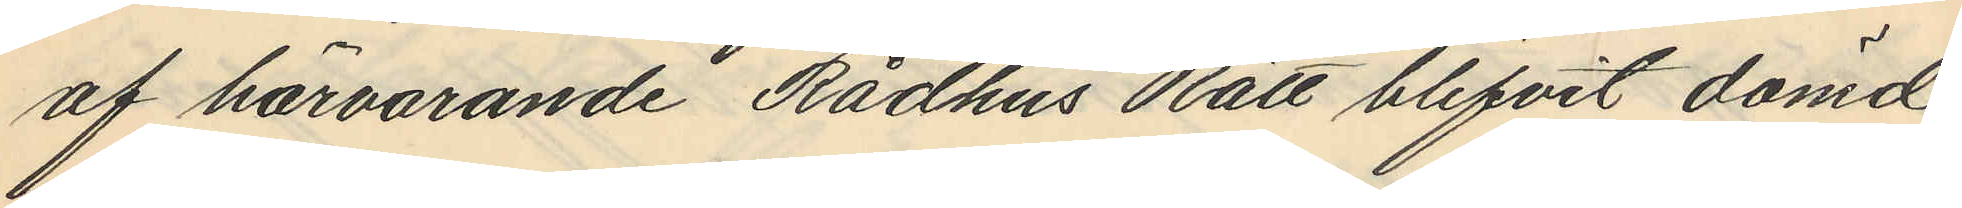af härvarande Rådhus Rätt blifvit dömd
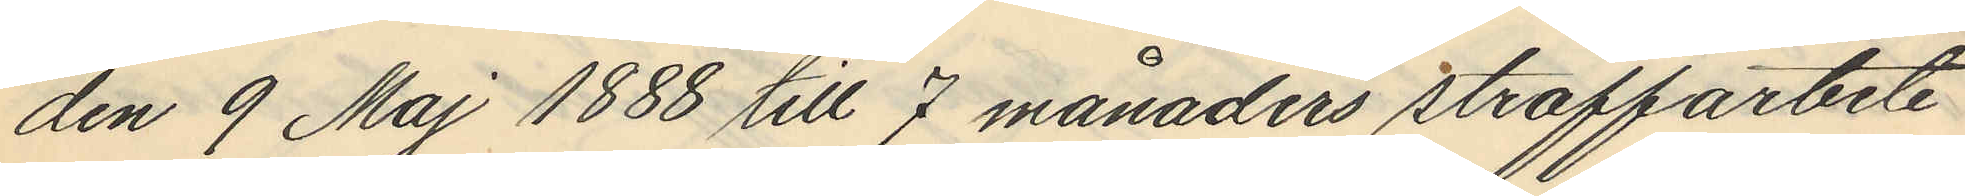den 9 Maj 1888 till 7 månaders straffarbete
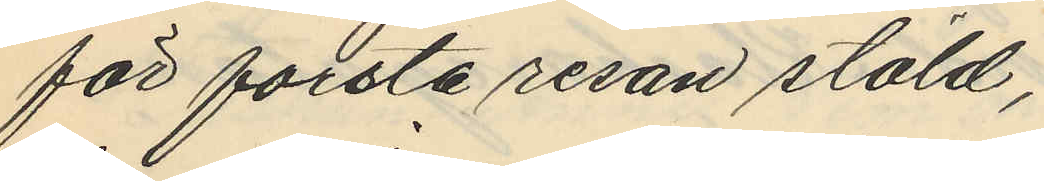för forsta resan stöld,
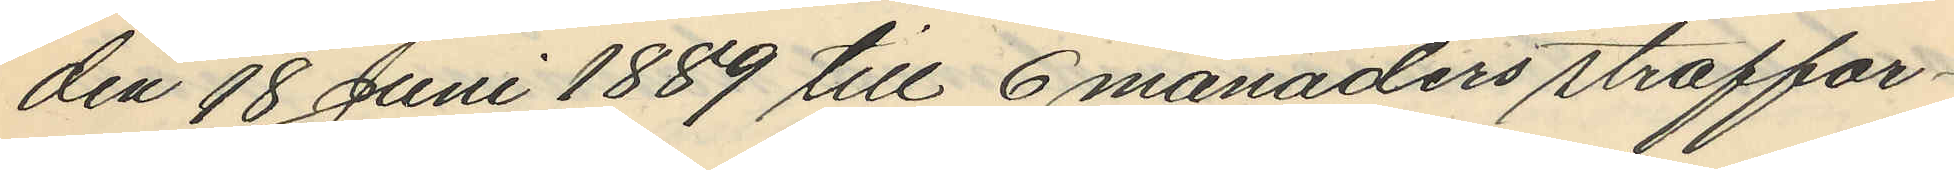den 18 Juni 1889 till 6 månaders straffar¬
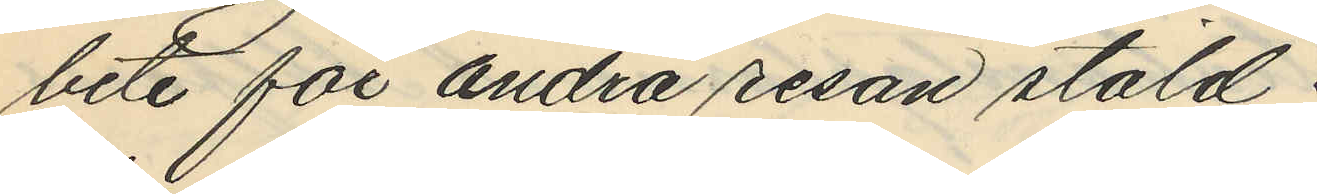bete för andra resan stöld;
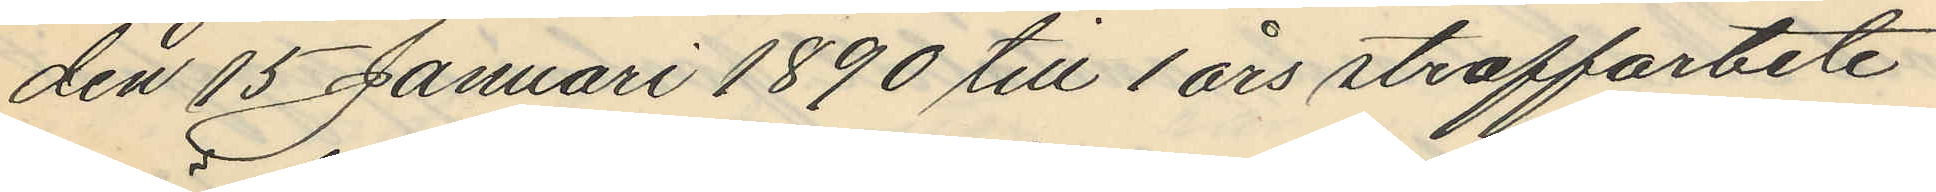den 15 Januari 1890 till 1 års straffarbete
